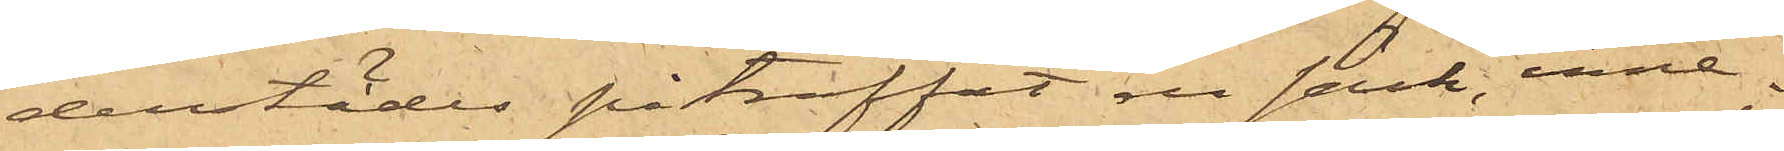derstädes påträffat en säck, inne¬
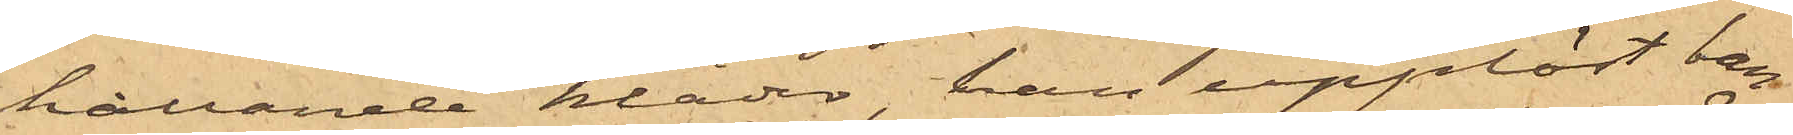hållande kläder, han upplöst ban¬
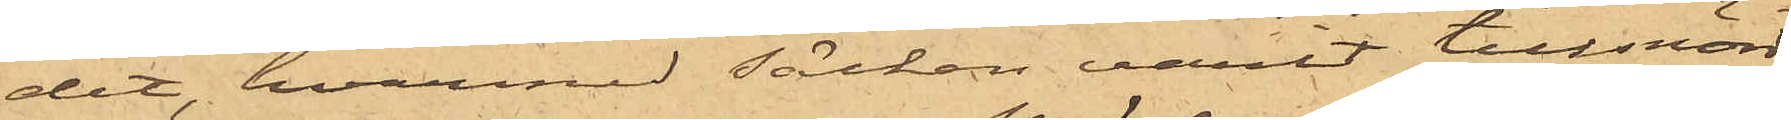det, hvarmed säcken varit tillsnörd,
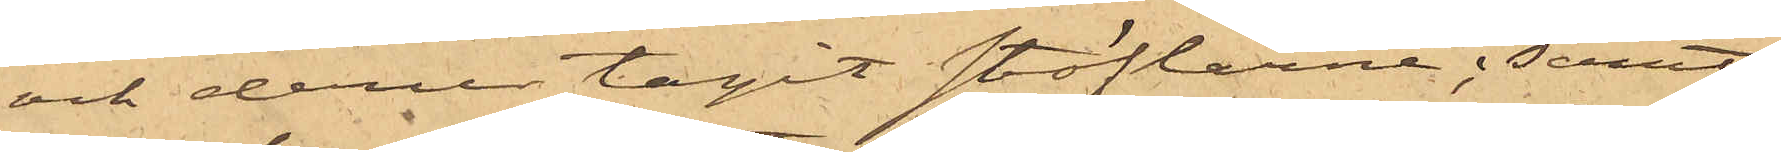och derur tagit stöflarne; samt
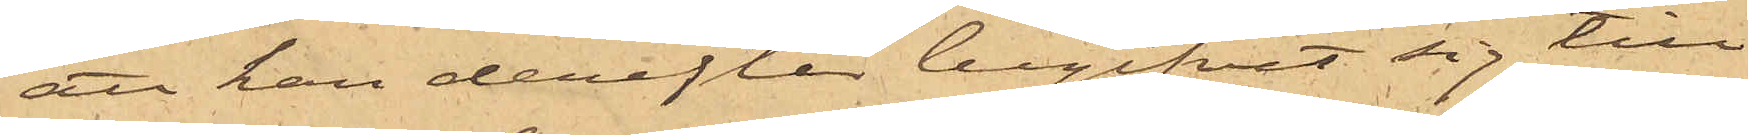att han derefter begifvit sig till
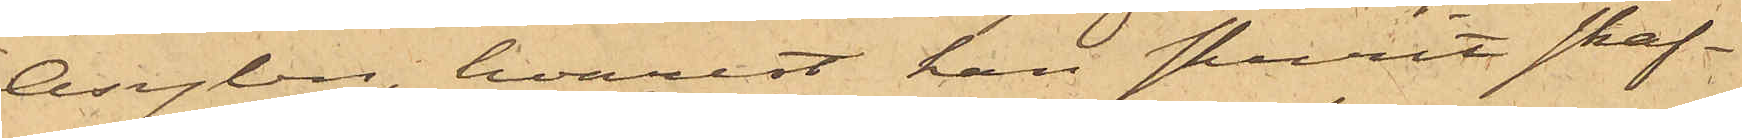Asylen, hvarest han skurit skaf¬
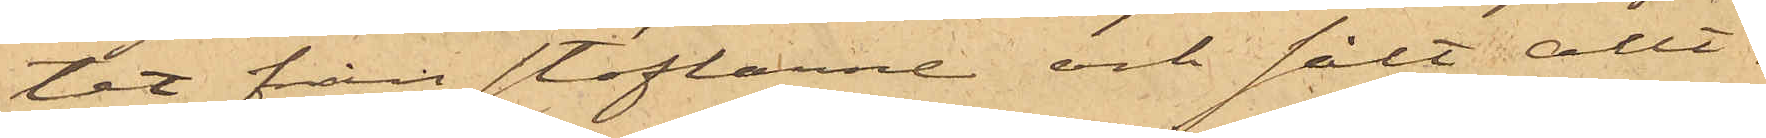tet från stöflarne och sålt allt¬
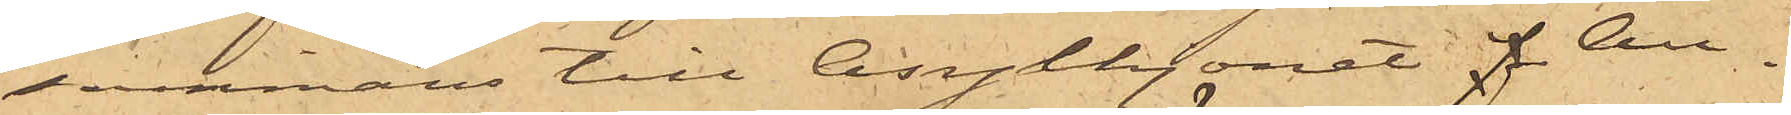sammans till Asylhjonet f Au¬
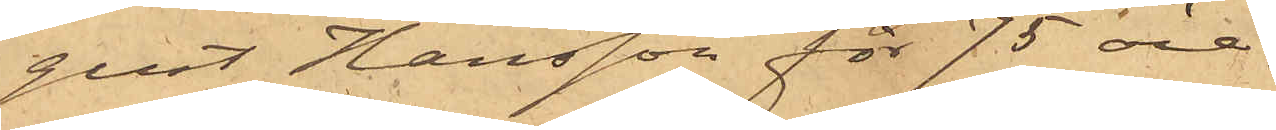gust Hansson för 75 öre.
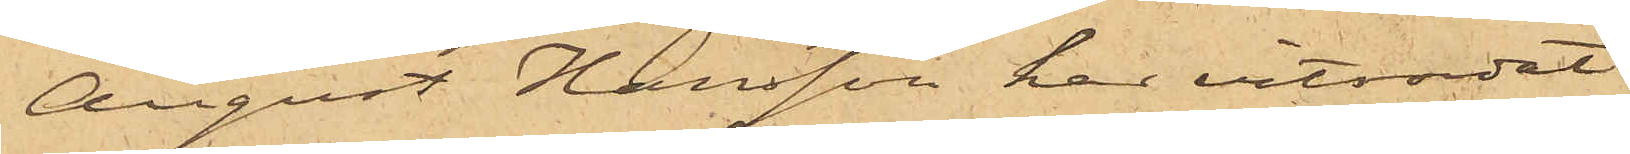August Hansson har vitsordat
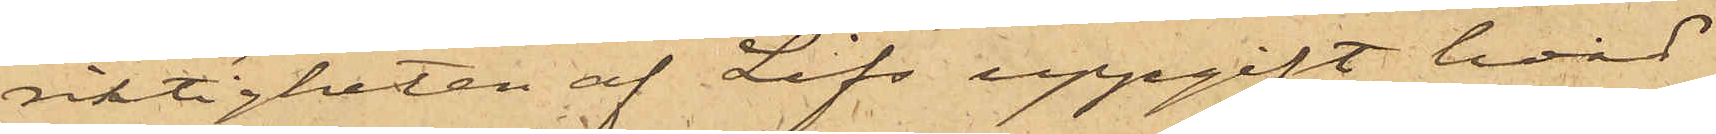riktigheten af Lifs uppgift hvad
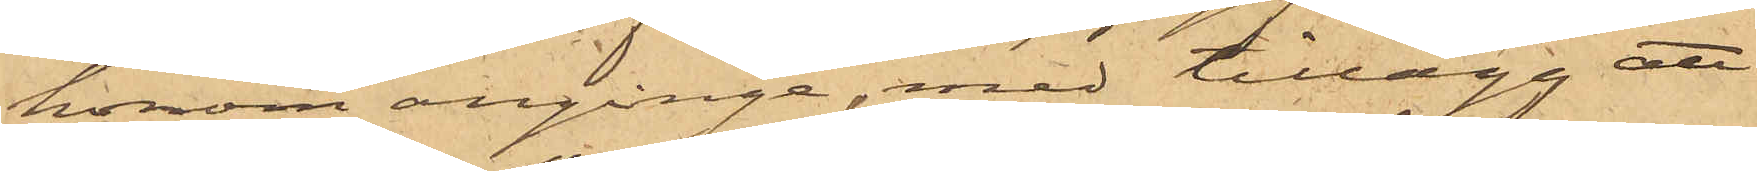honom anginge, med tillägg att
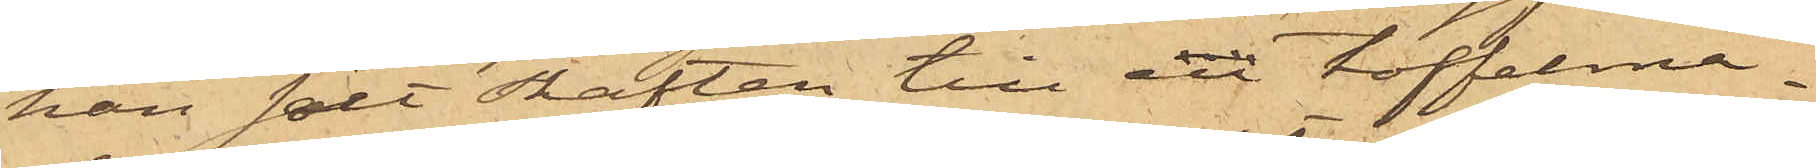han sålt skaften till en toffelma¬
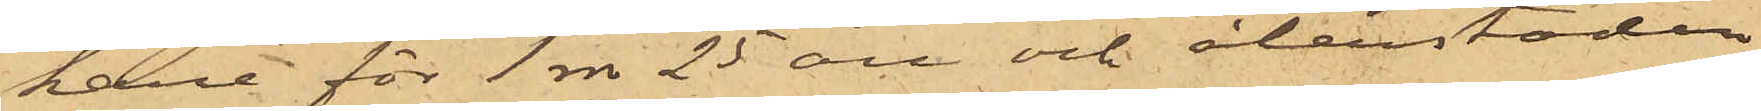kare för 1 rdr 25 öre och återstoden
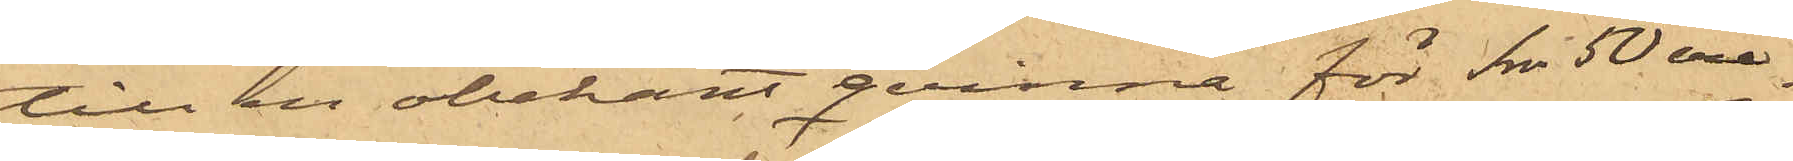till en obekant qvinna för 1 rdr 50 öre.
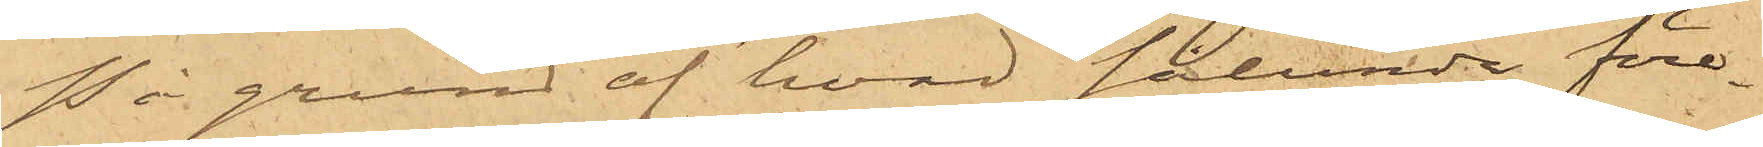På grund af hvad sålunda före¬
